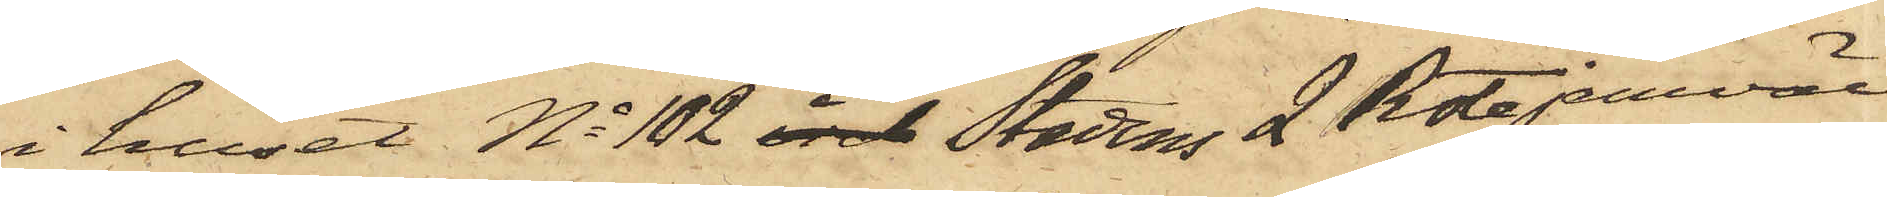i huset No 102 i Stadens 2 Rote jemväl
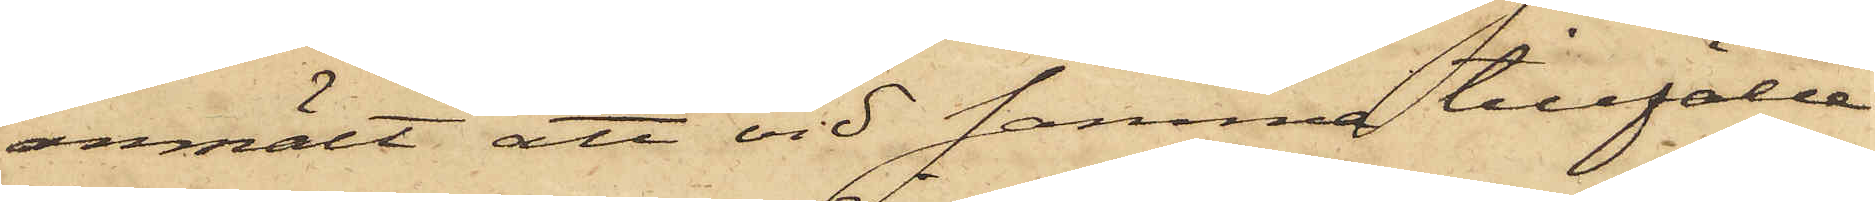anmält att vid samma tillfälle
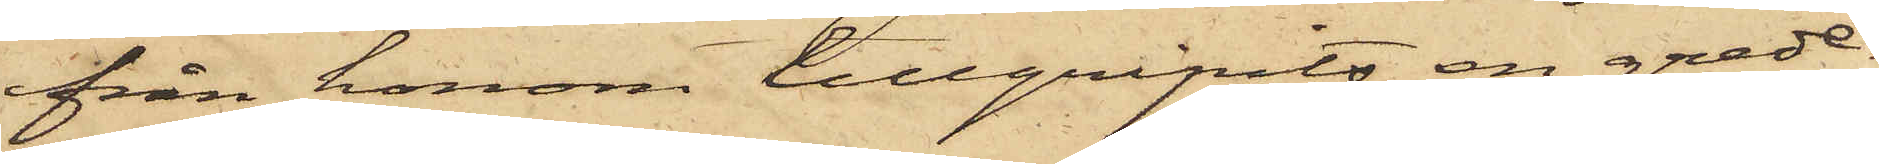från honom tillgripits en grede¬
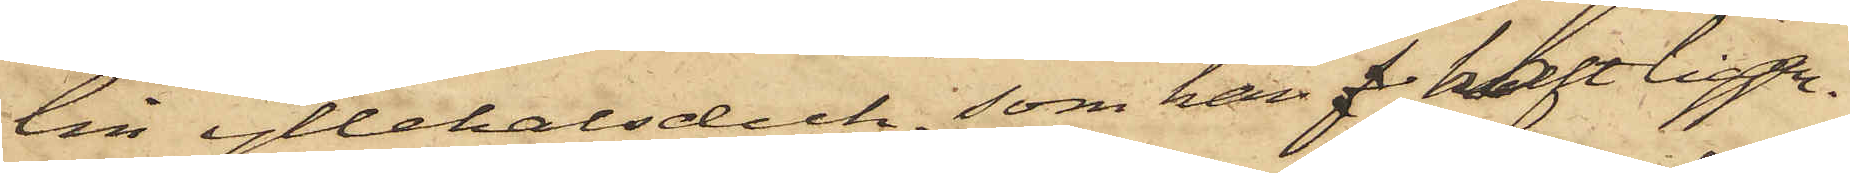lin yllehalsduk, som han f haft liggan¬
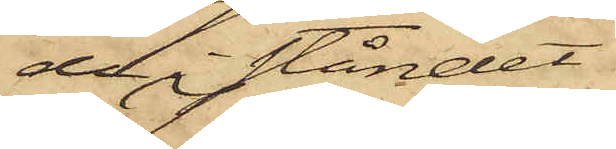de i ståndet.
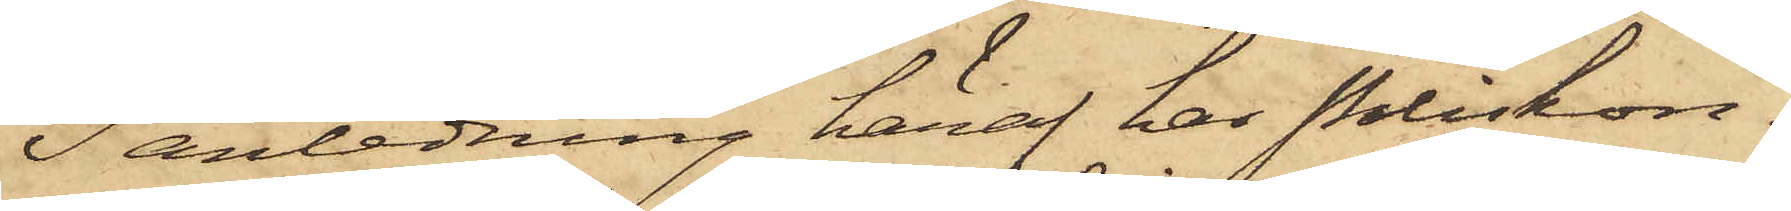I anledning häraf har Poliskon¬
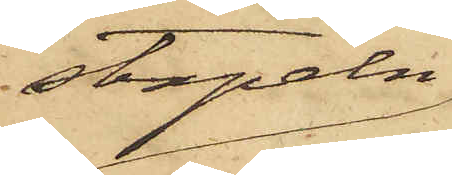stapeln
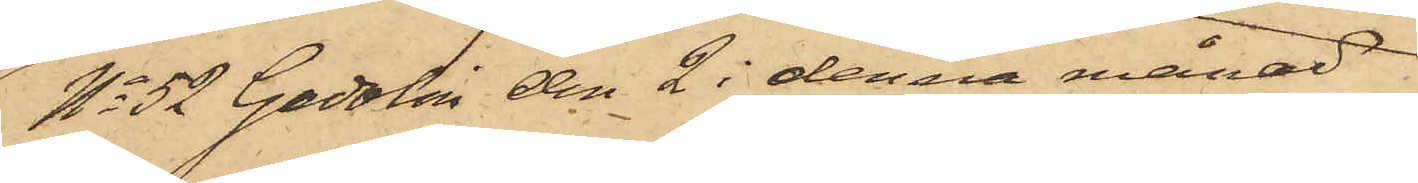No 52 Gadolin den 2 i denna månad
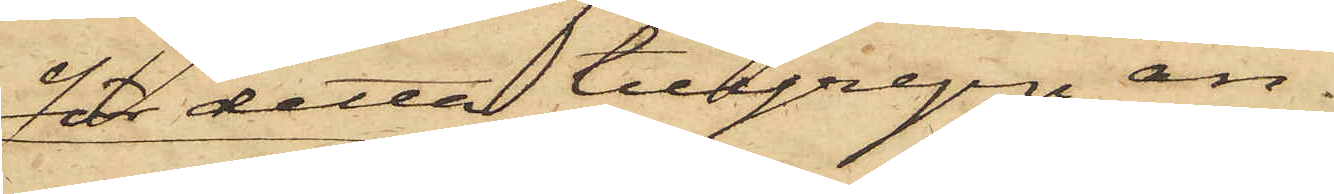för detta tillgrepp an¬
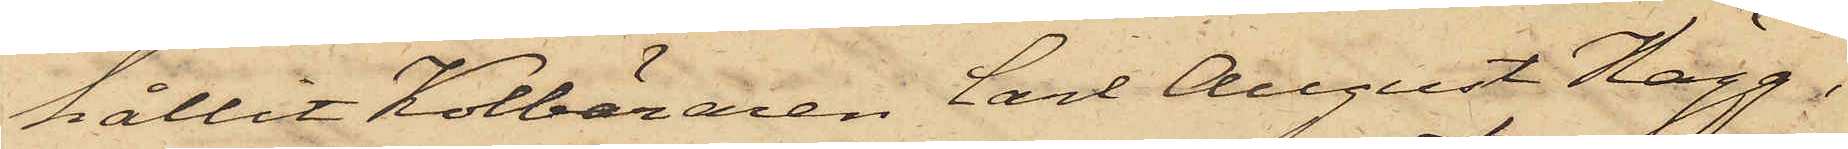hållit Kolbäraren Carl August Hägg,
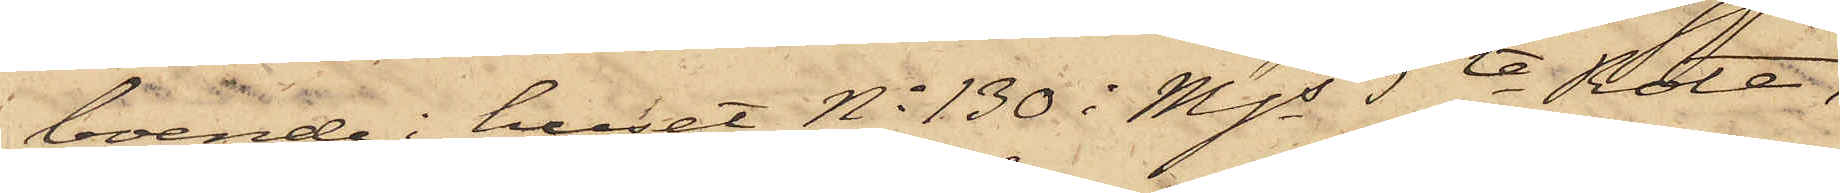boende i huset No 130 i Mjs 5te Rote,
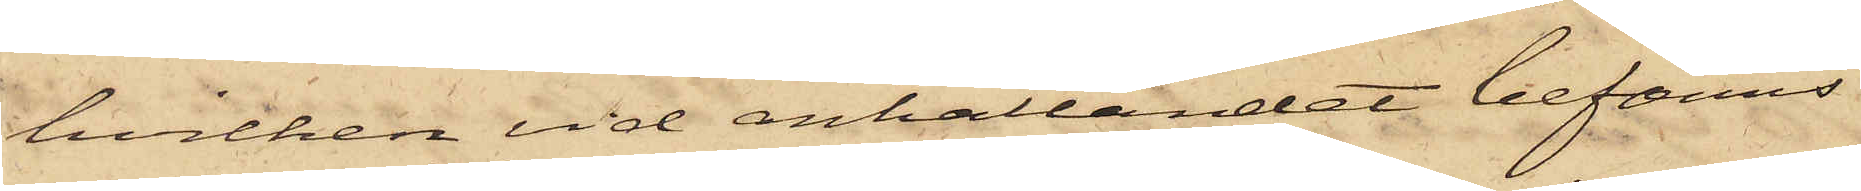hvilken vid anhållandet befanns
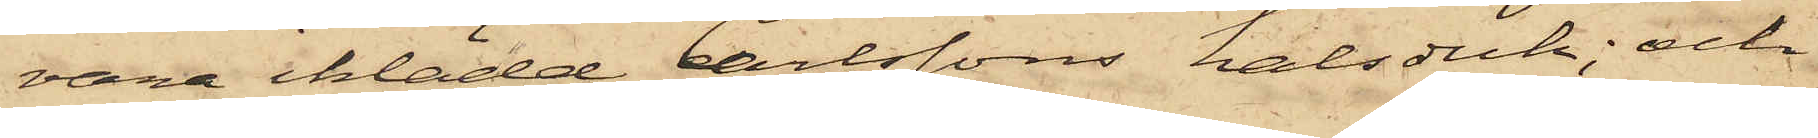vara iklädd Carlssons halsduk; och
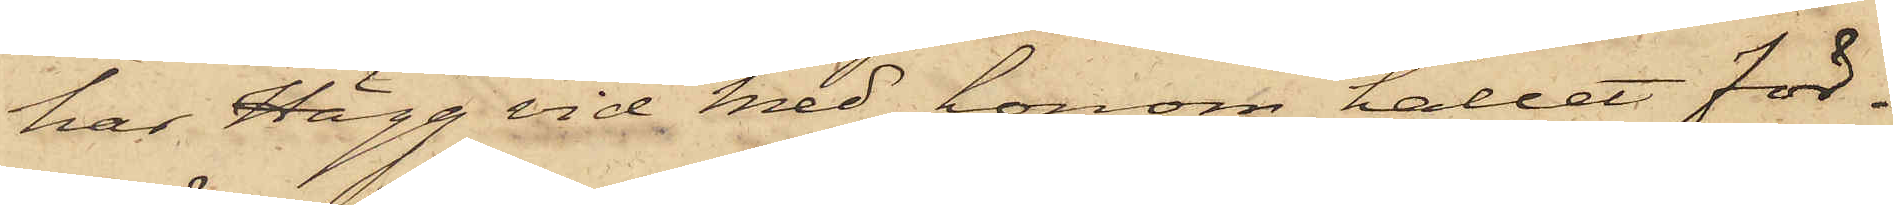har Hägg vid med honom hållet för¬
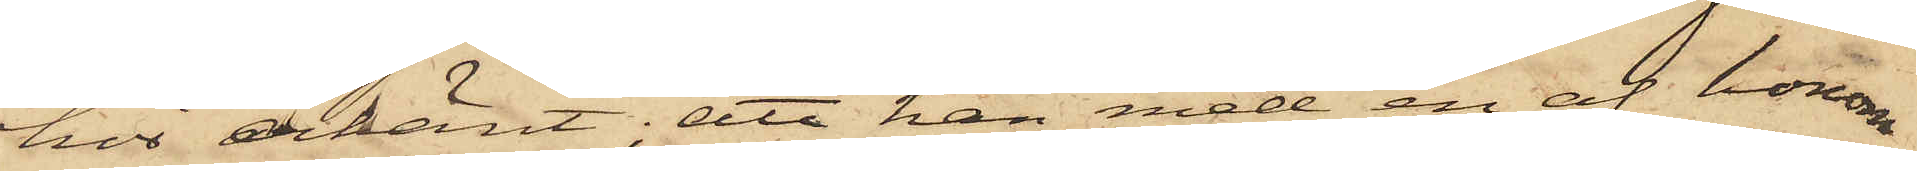hör erkänt; att han med en af honom
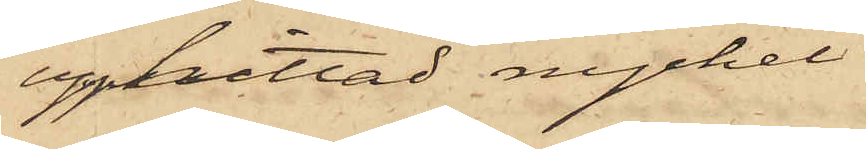upphittad nyckel
